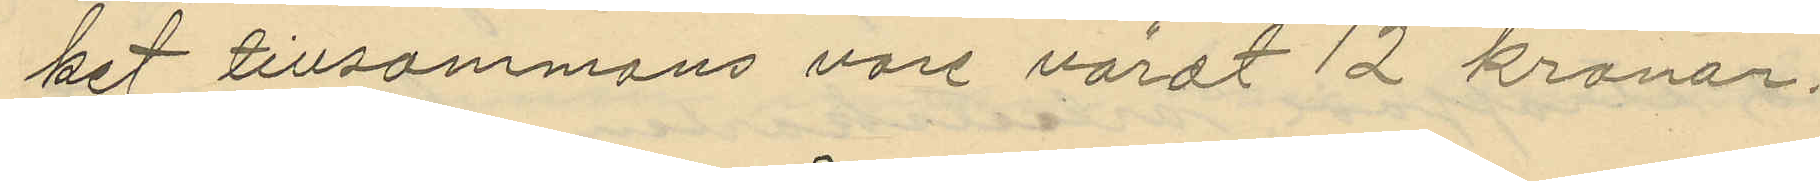ket tillsammans vore värdt 12 kronor.
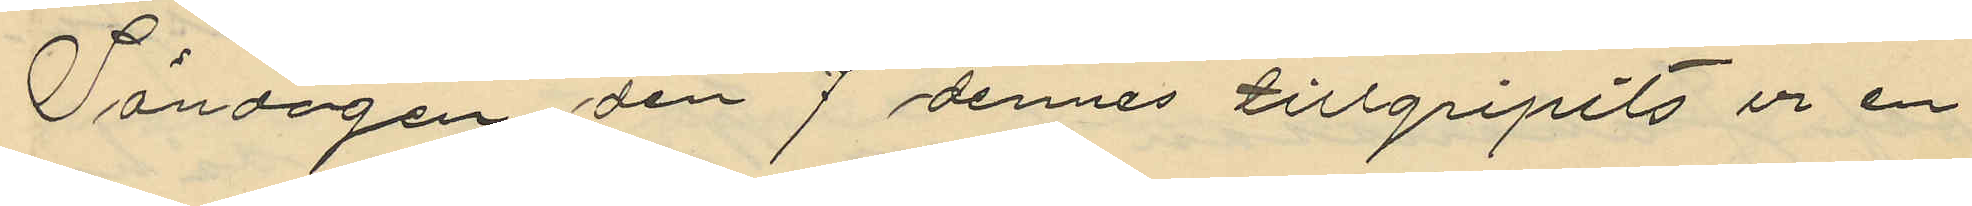Söndagen den 7 dennes tillgripits ur en
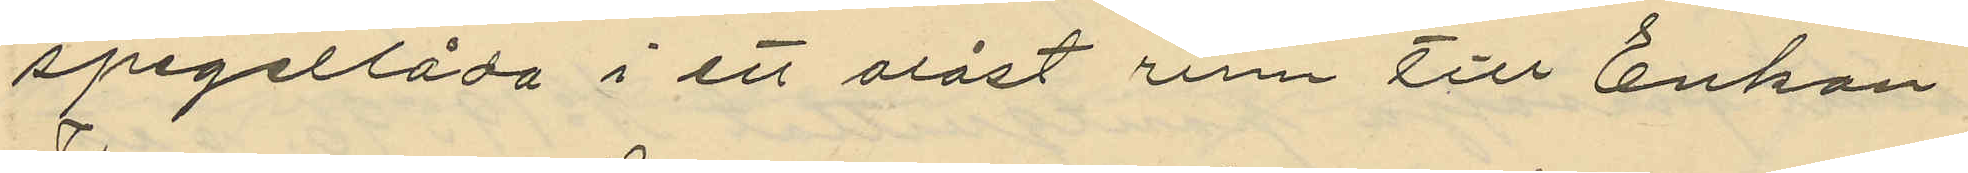spegellåda i ett olåst rum till Enkan
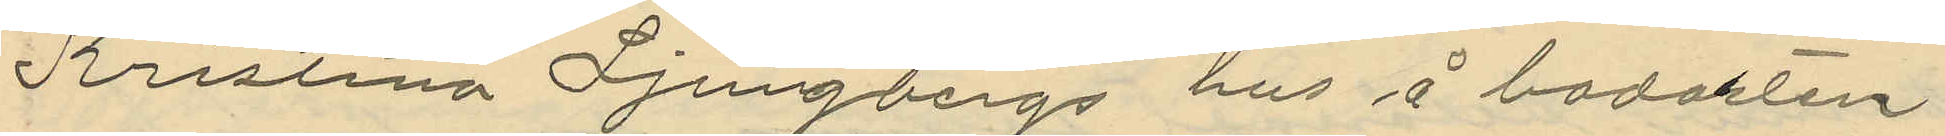Kristina Ljungbergs hus å badorten
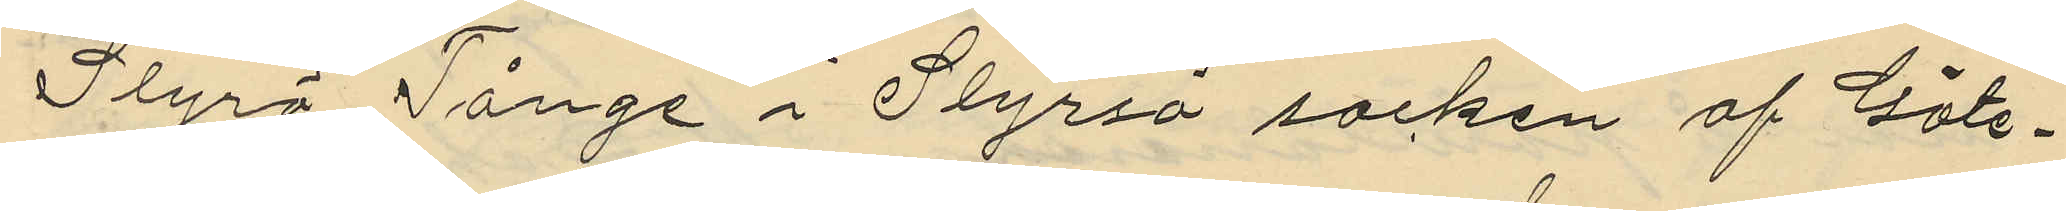Styrsö Tånge i Styrsö socken af Göte¬
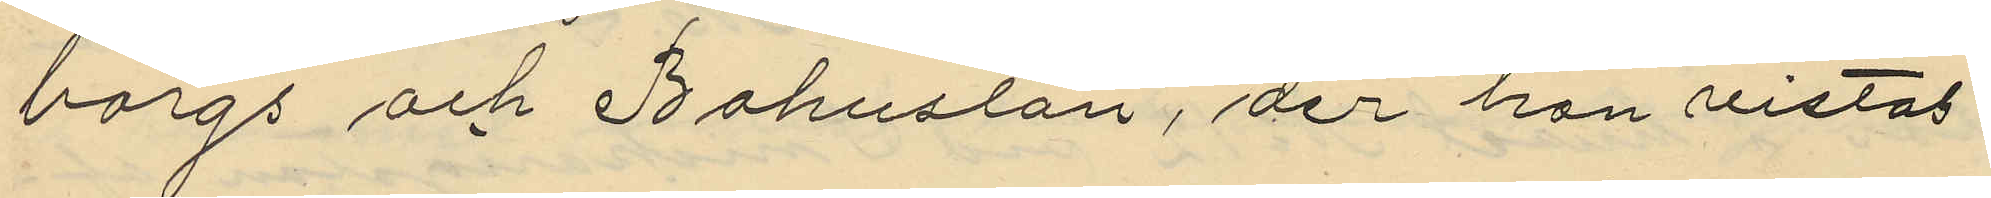borgs och Bohuslän, der hon vistas
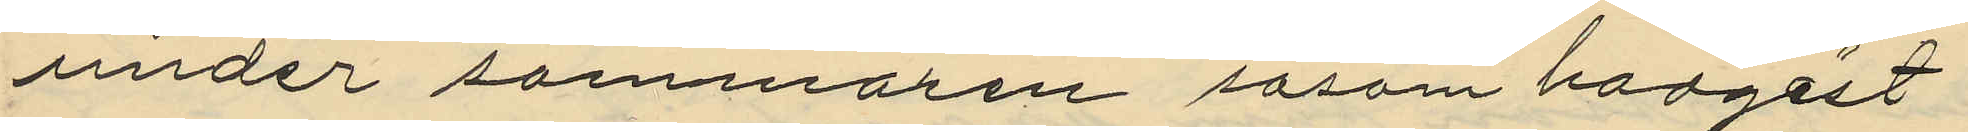under sommaren såsom badgäst
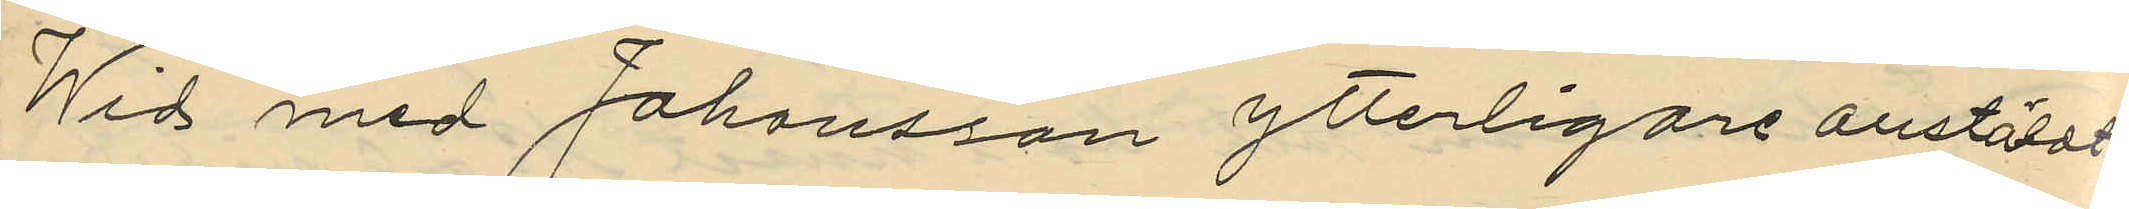Wid med Johansson ytterligare anstäldt
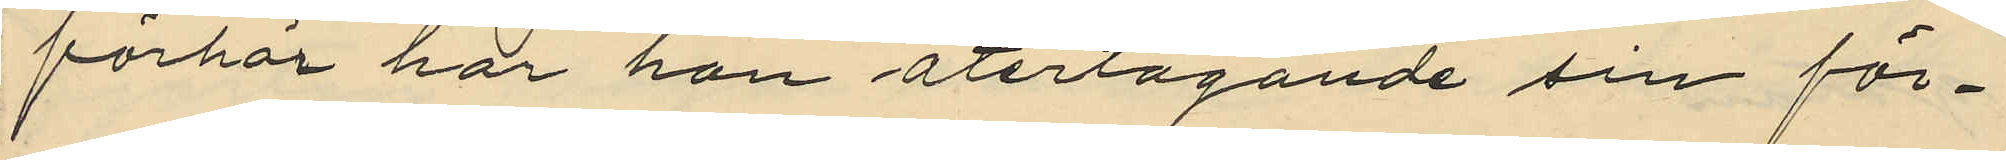förhör har han återtagande sin för¬
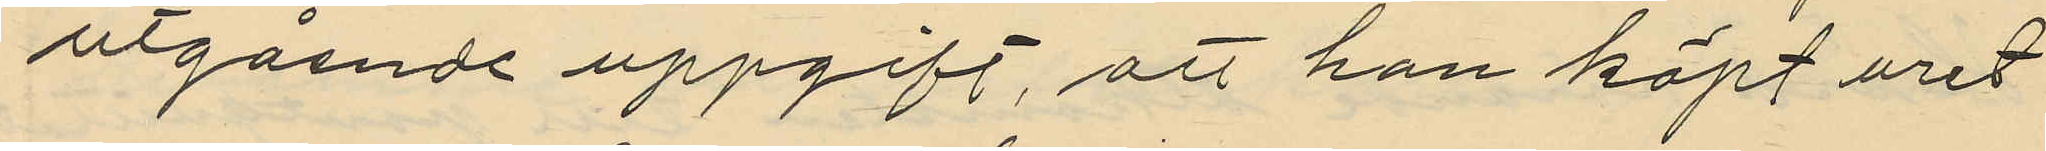utgående uppgift, att han köpt uret
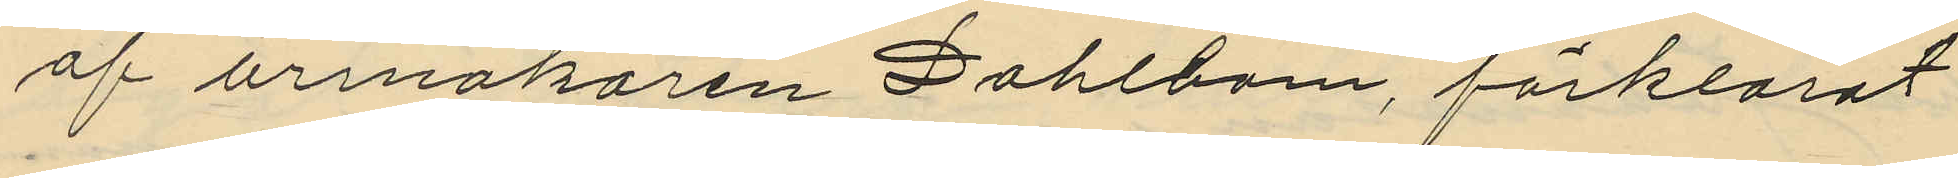af urmakaren Dahlbom, förklarat
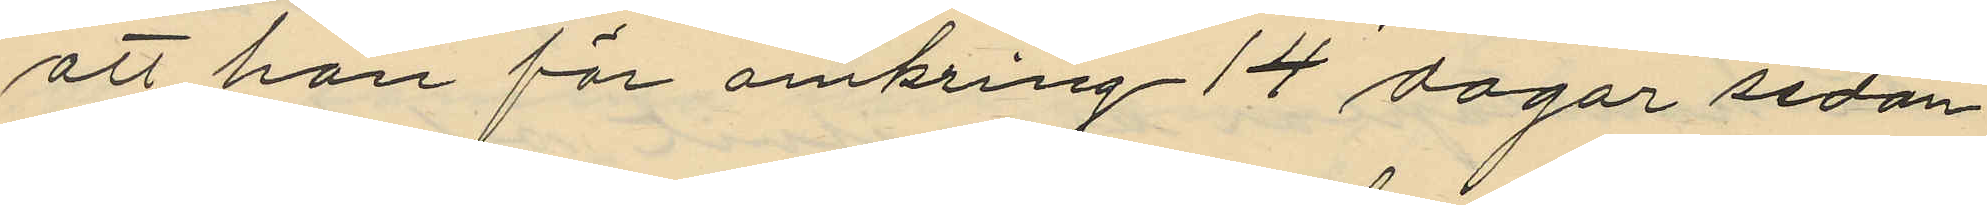att han för omkring 14 dagar sedan
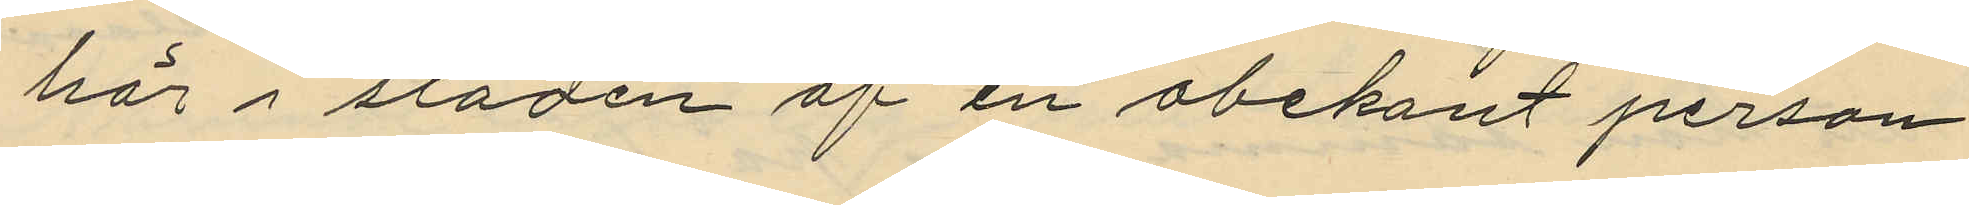här i staden af en obekant person
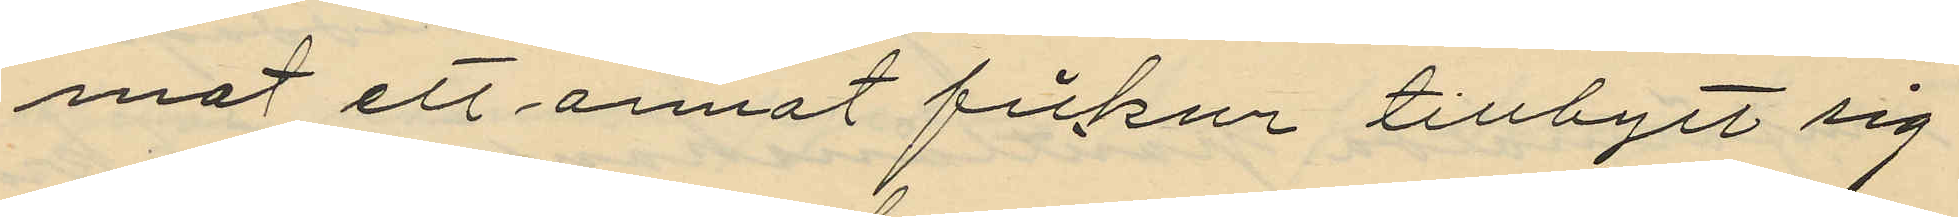mot ett annat fickur tillbytt sig
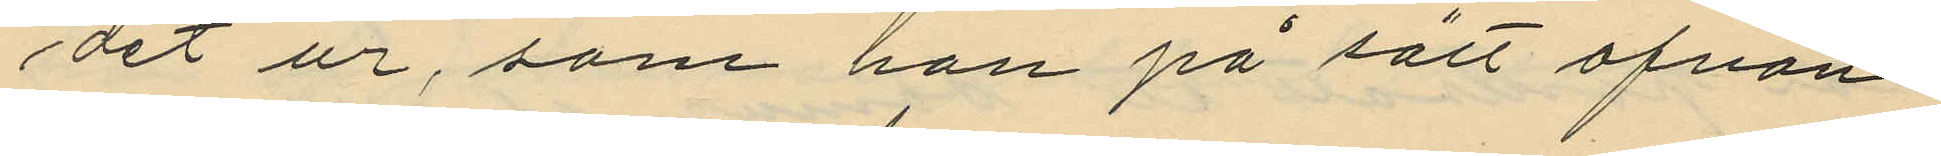det ur, som han på sätt ofvan¬
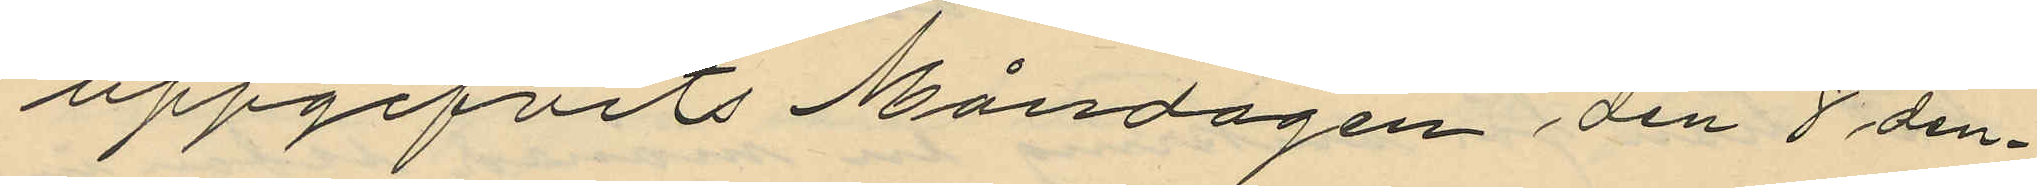uppgifvits Måndagen den 8 den¬
